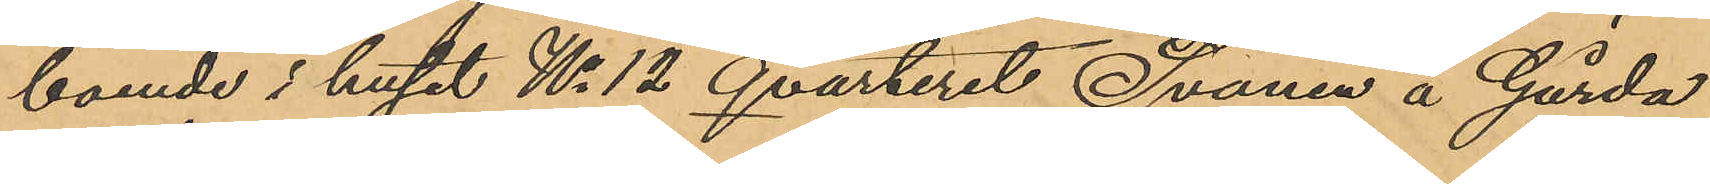boende i huset No 12 Qvarteret Svanen å Gårda
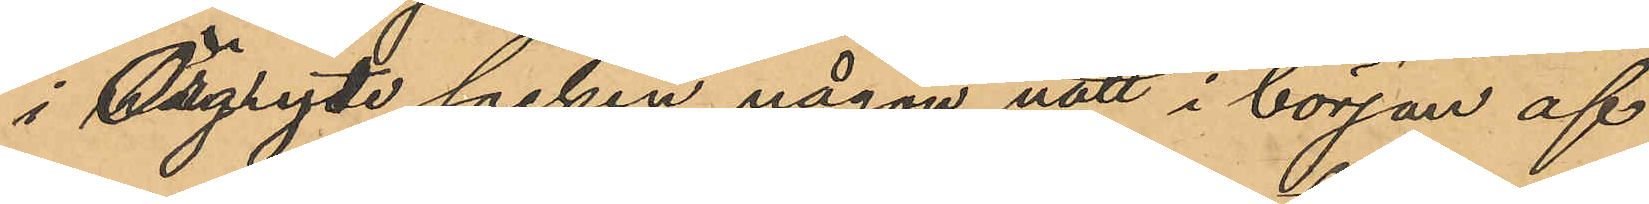i Örgryte socken någon natt i början af
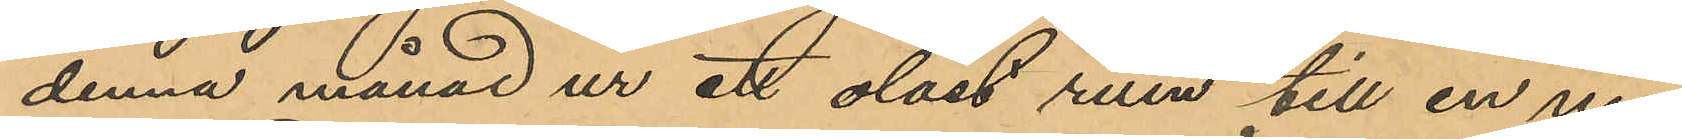denna månad ur ett olåst rum till en ny¬
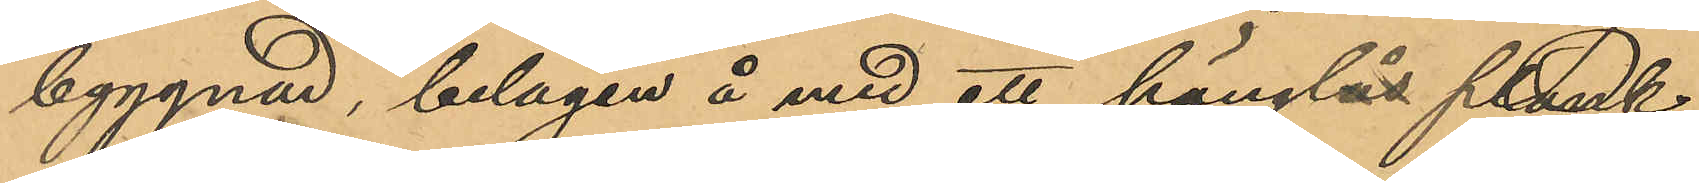byggnad, belägen å med ett hänglås plank¬
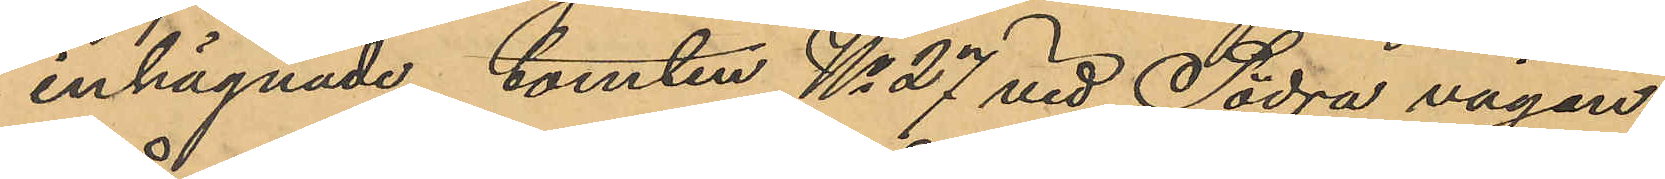inhägnade tomten No 27 vid Södra vägen
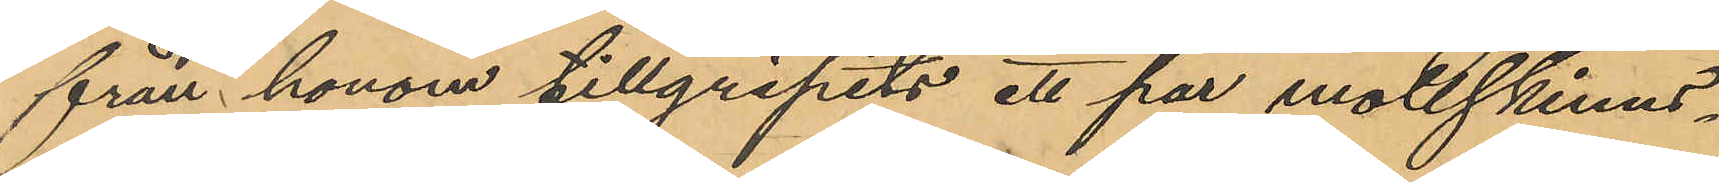från honom tillgripits ett par mollskinns¬
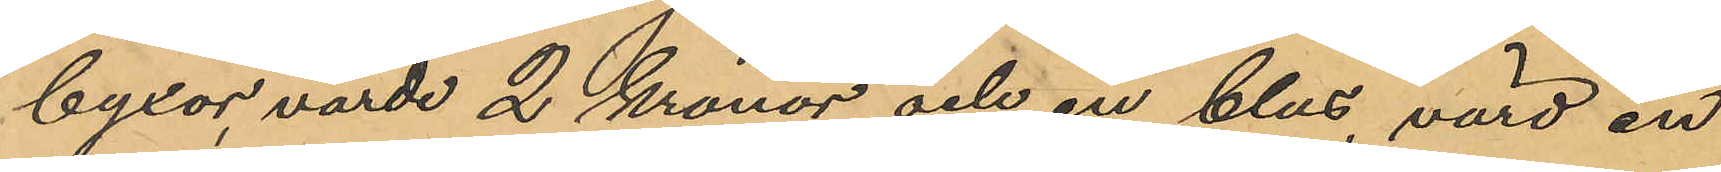byxor, värde 2 kronor, och en blus, värd en
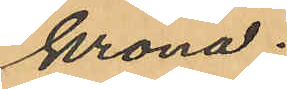krona.
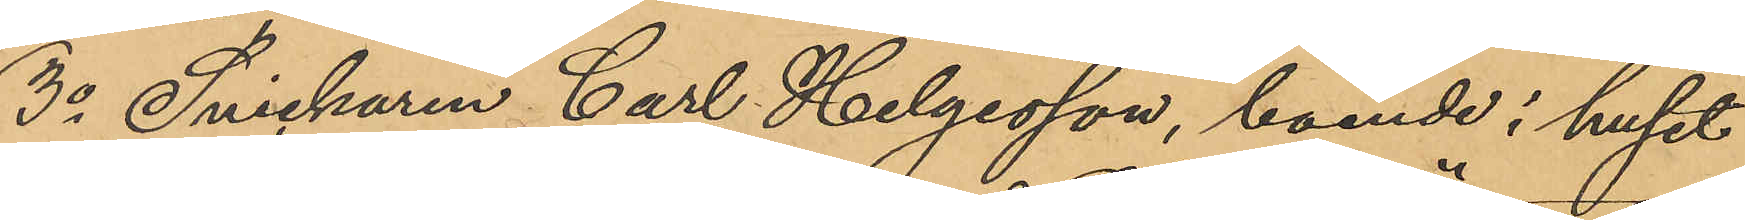3o Snickaren Carl Helgesson, boende i huset
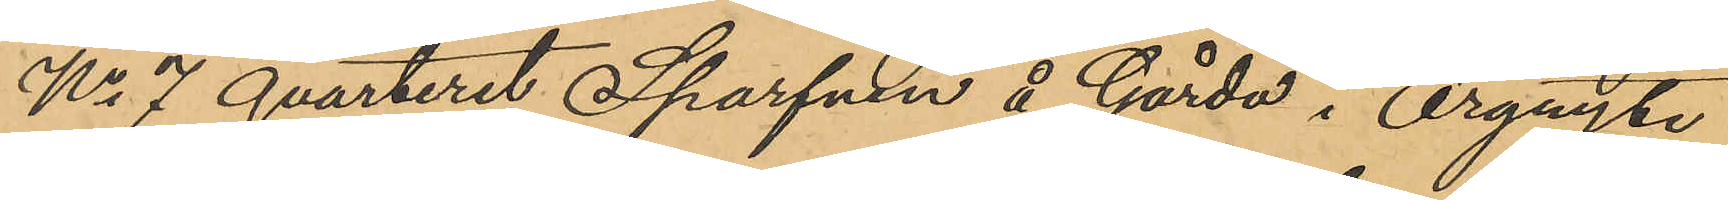No 7 qvarteret Sparfven å Gårda i Örgryte
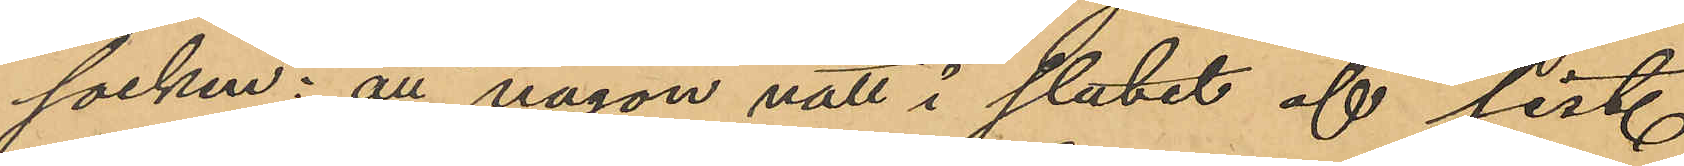socken: att någon natt i slutet af sist.
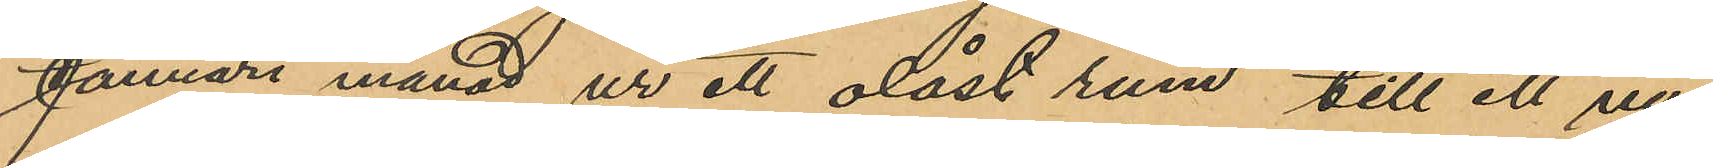Januari månad ur ett olåst rum till ett ny¬
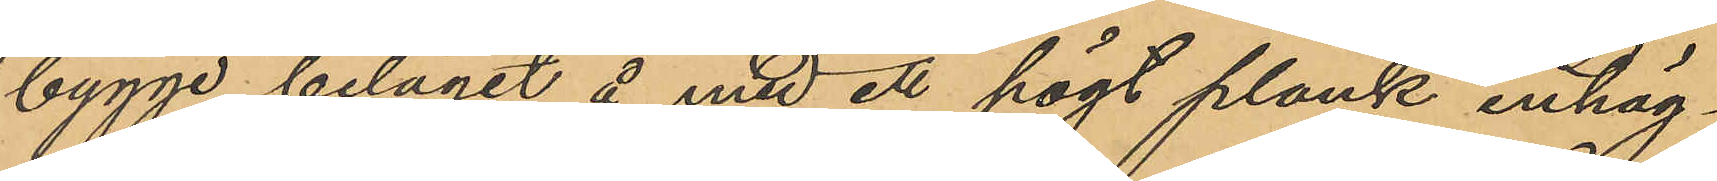bygge, beläget å med ett högt plank inhäg¬
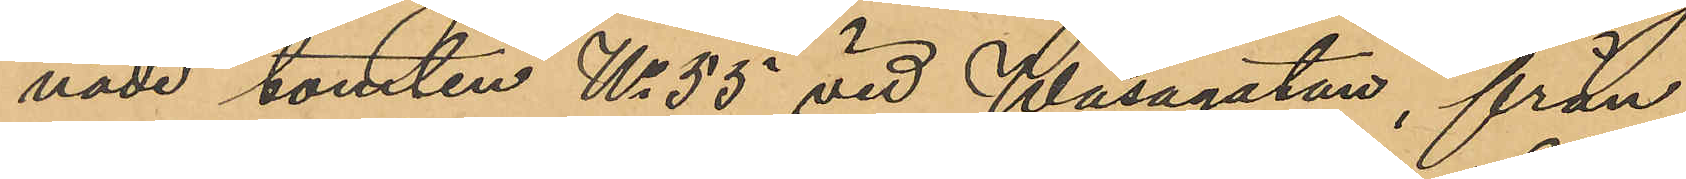nade tomten No 55 vid Wasagatan, från
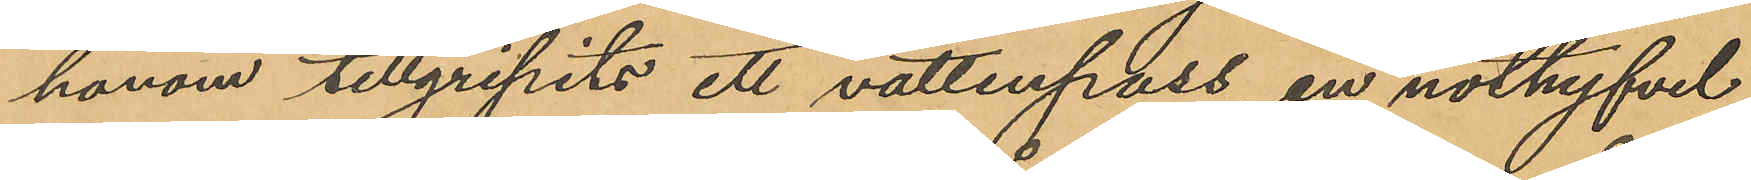honom tillgripits ett vattenpass, en nothyfvel,
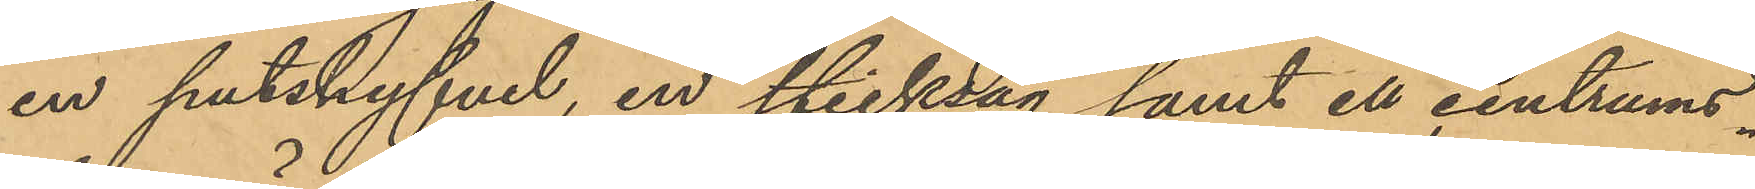en putshyfvel, en sticksåg samt ett centrums¬
